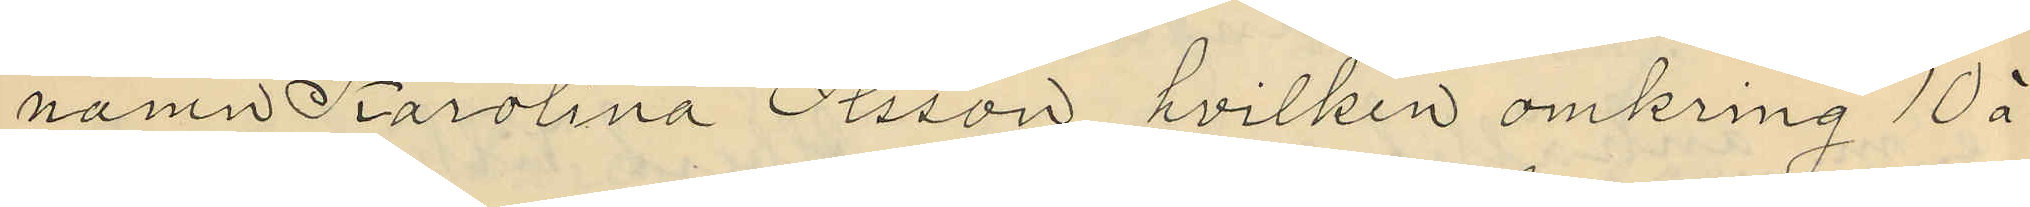namn Karolina Olsson, hvilken omkring 10 à
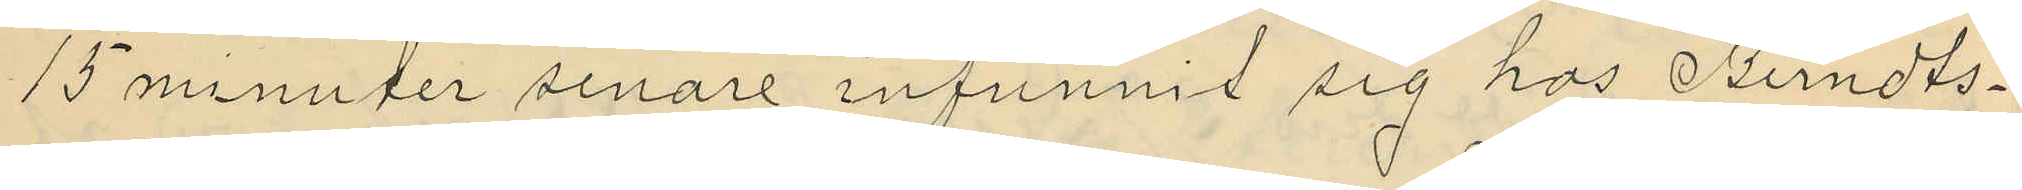15 minuter senare infunnit sig hos Bendts¬
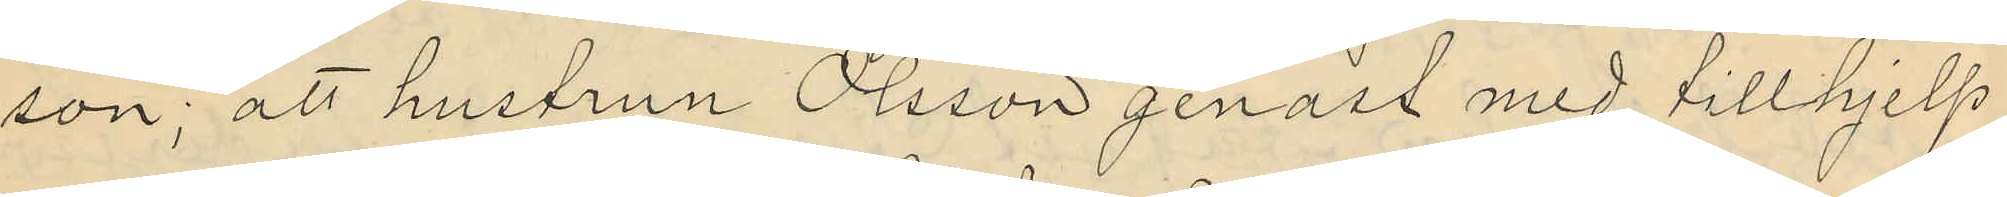son; att hustrun Olsson genast med tillhjelp
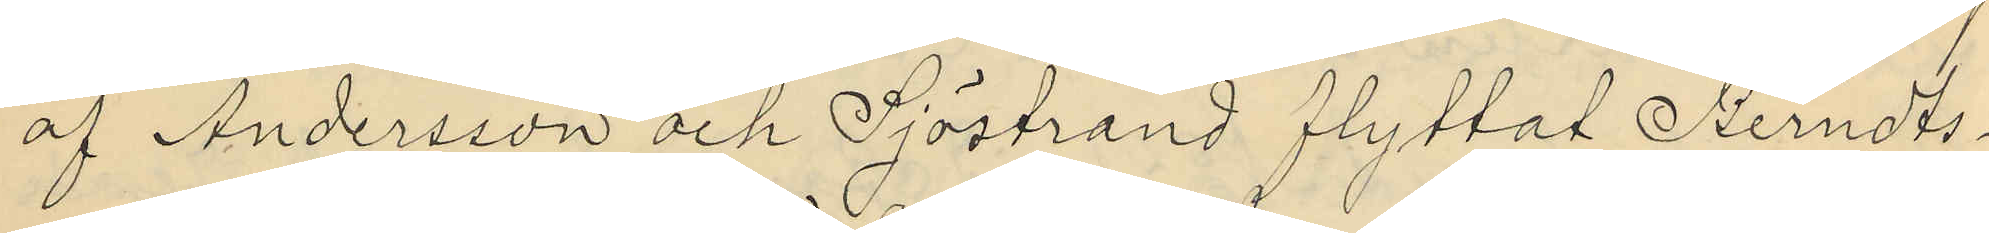af Andersson och Sjöstrand flyttat Berndts¬
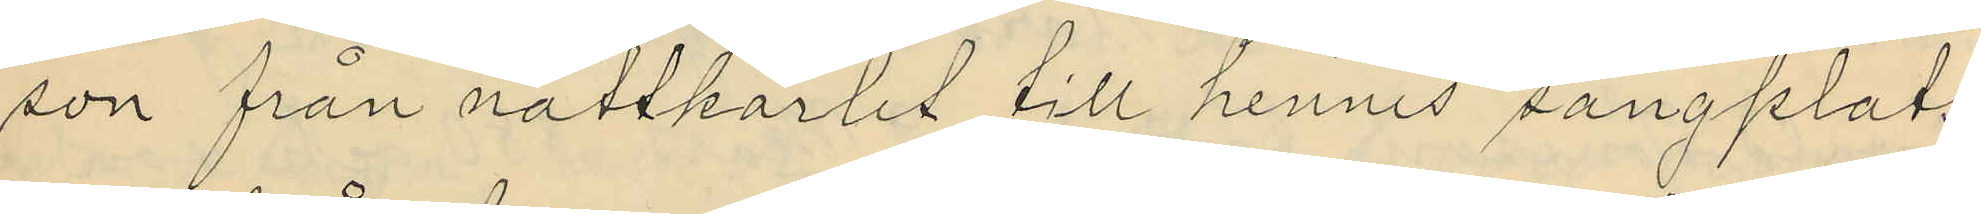son från nattkärlet till hennes sängplats,
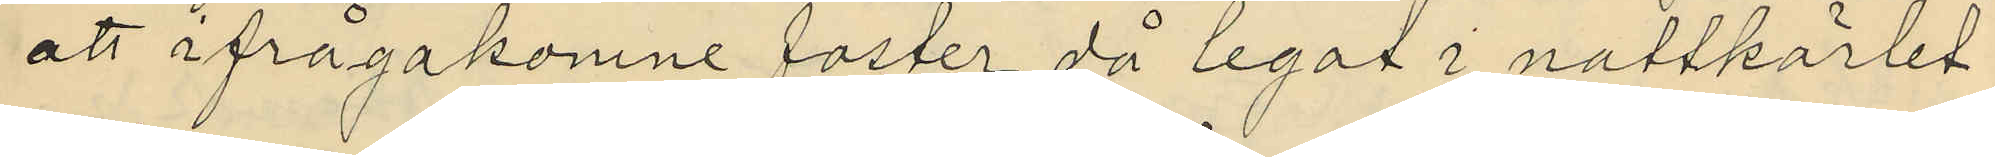att ifrågakomne foster då legat i nattkärlet
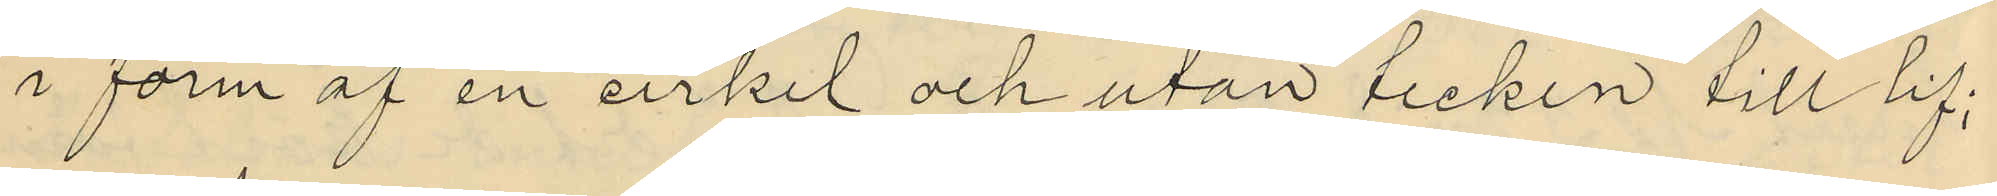i form af en cirkel och utan tecken till lif;
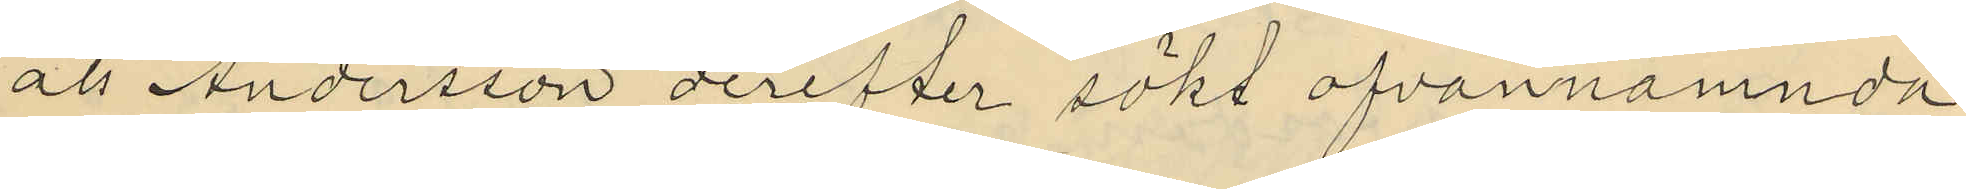att Andersson derefter sökt ofvannämnda
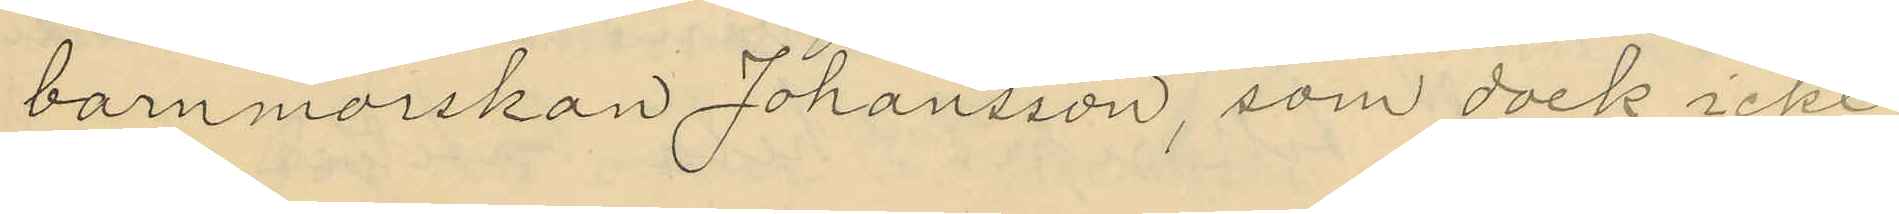barnmorskan Johansson, som dock icke
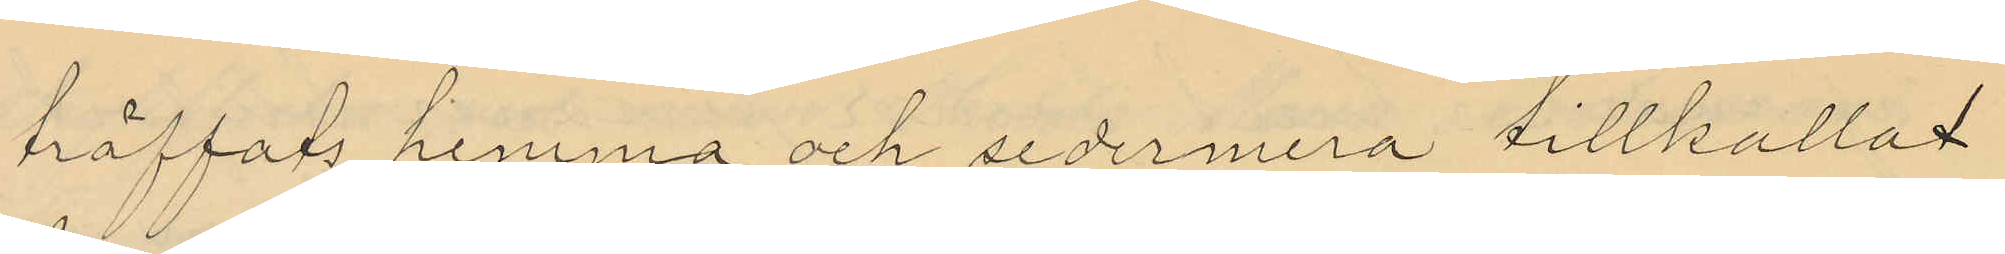träffats hemma och sedermera tillkallat
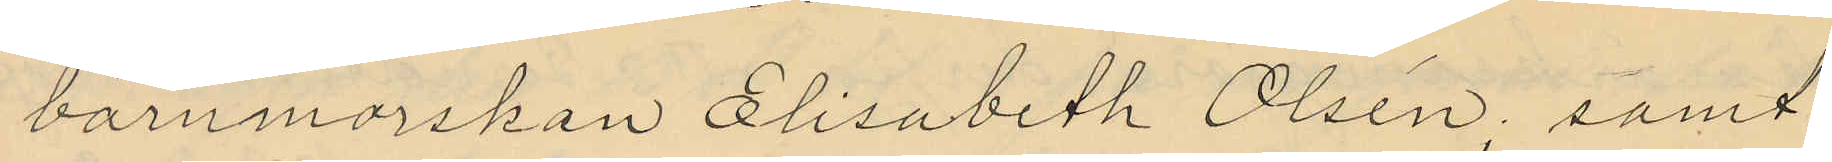barnmorskan Elisabeth Olsén; samt
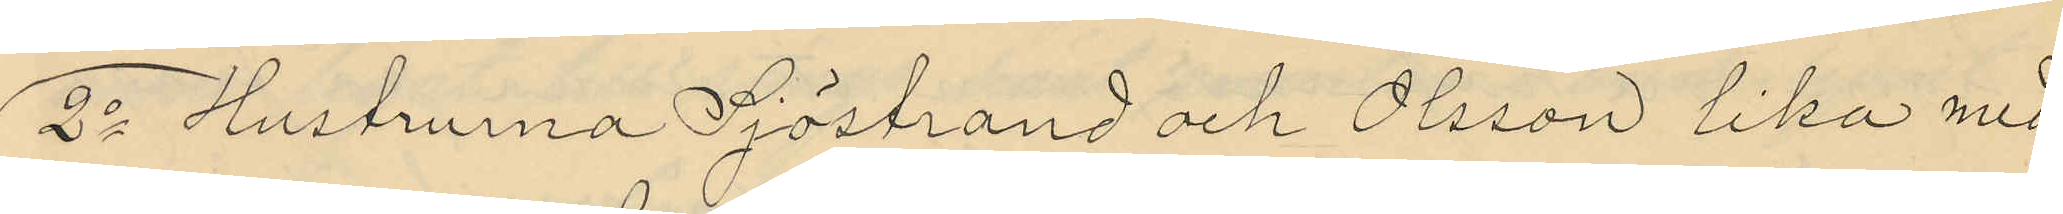2o Hustrurna Sjöstrand och Olsson lika med
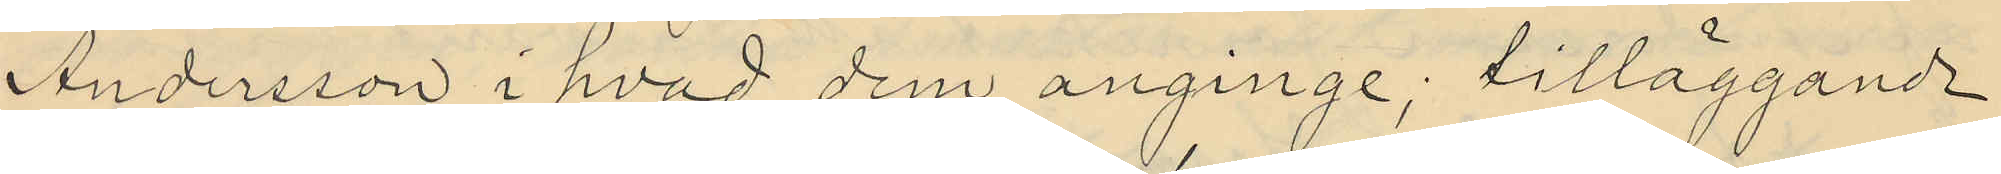Andersson i hvad dem anginge; tilläggande
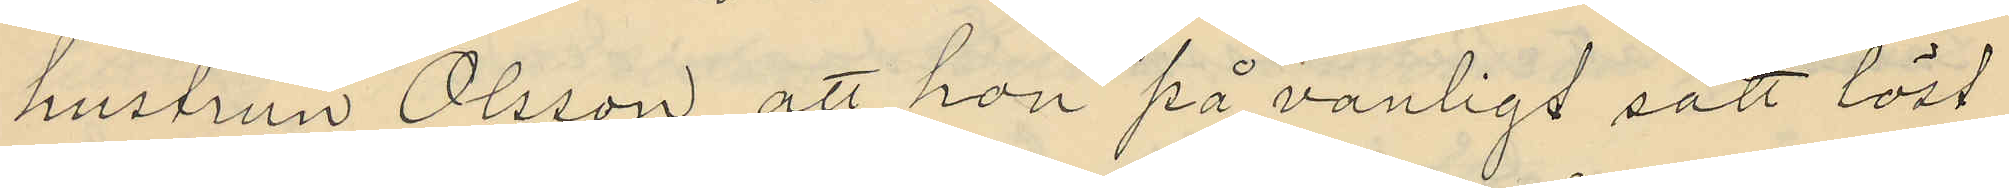hustrun Olsson, att hon på vanligt sätt löst
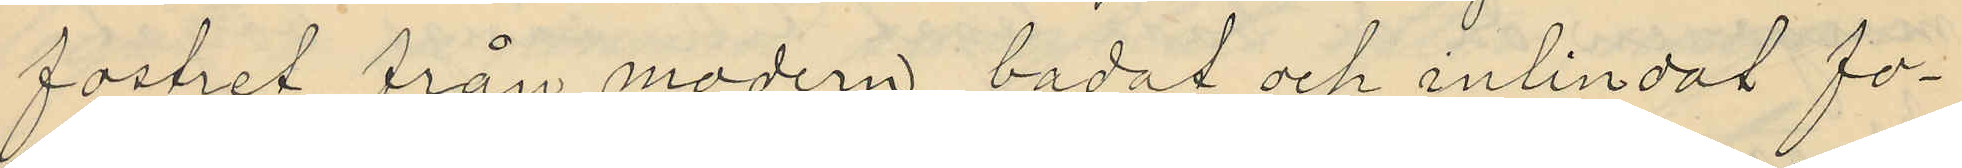fostret från modern, badat och inlindat fo¬
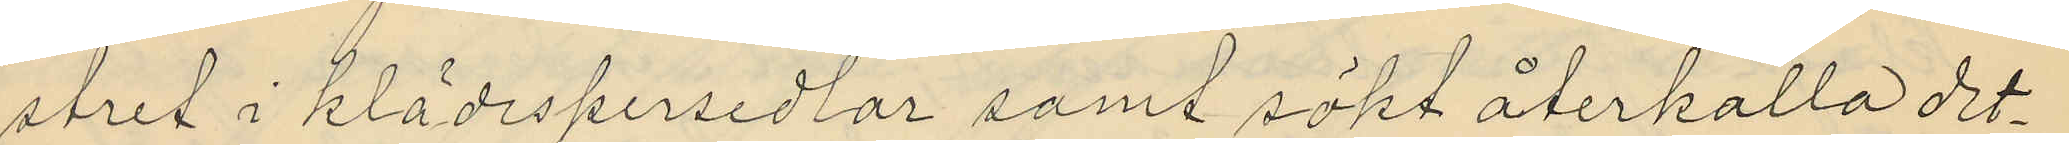stret i klädespersedlar samt sökt återkalla det¬
